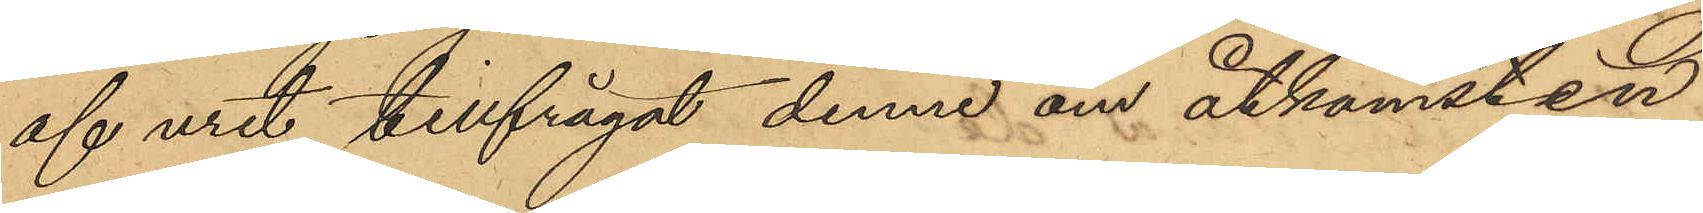af uret, tillfrågat denne om åtkomsten
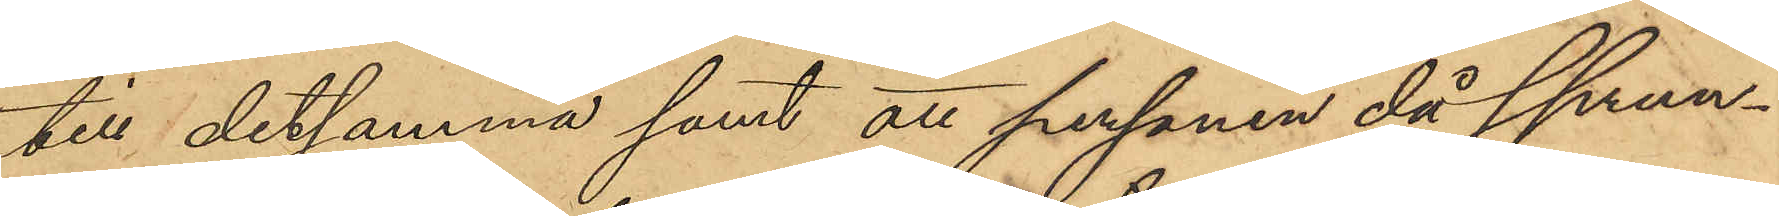till detsamma samt att personen då sprun¬
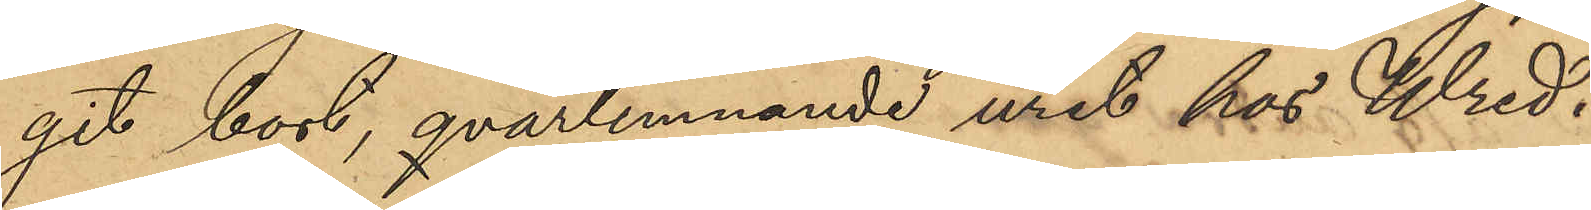git bort, qvarlemnande uret hos Wred.
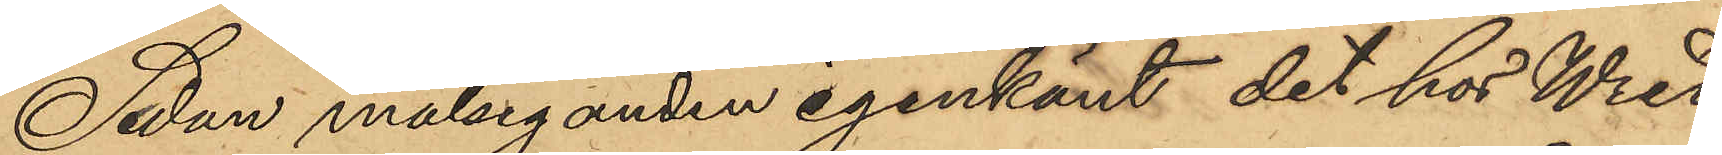Sedan målseganden igenkänt det hos Wred
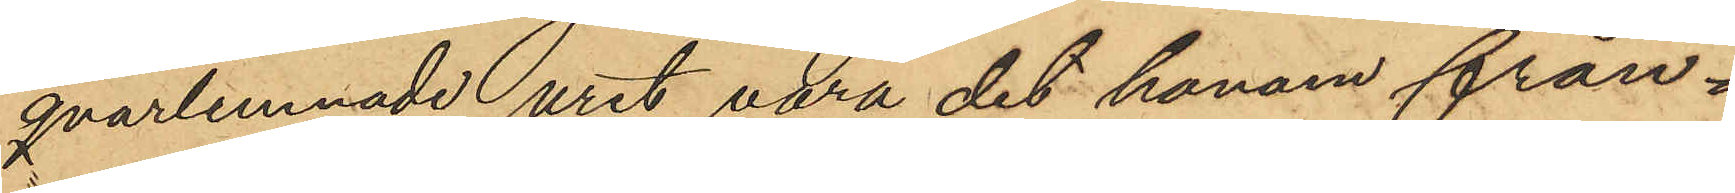qvarlemnade uret vara det honom från¬
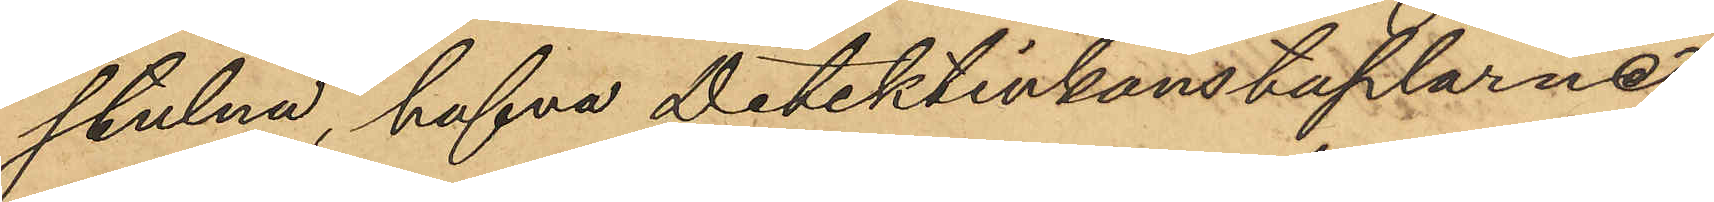stulna, hafva Detektivkonstaplarne
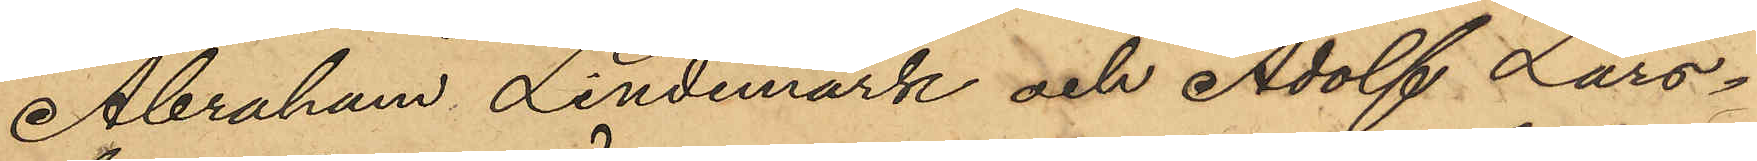Abraham Lindemark och Adolf Lars¬
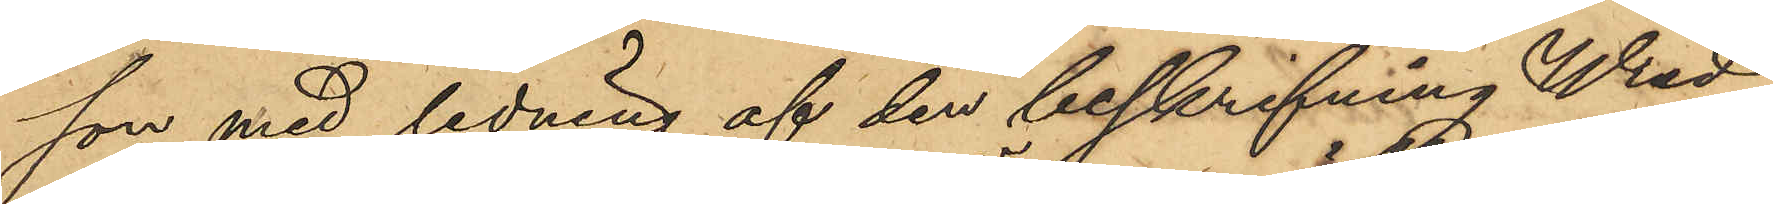son med ledning af den beskrifning Wred
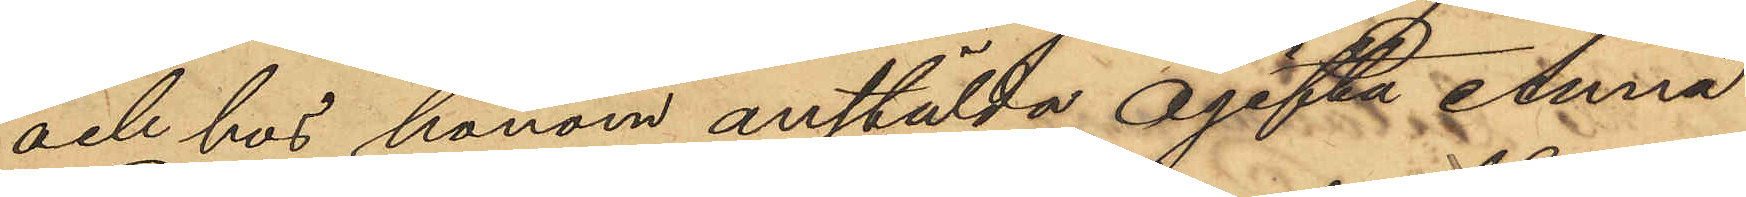och hos honom anstälda ogifta Anna
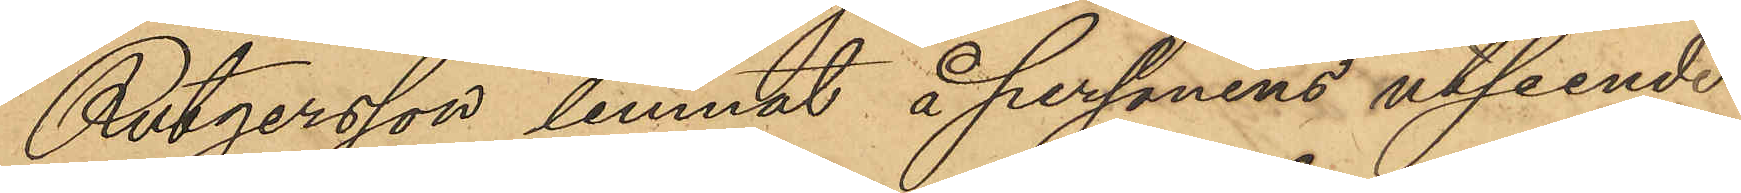Rutgersson lemnat å personens utseende
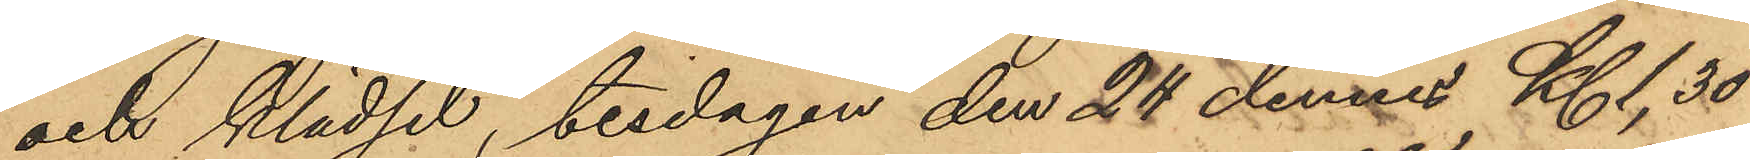och klädsel, tisdagen den 24 dennes Kl. 1,30
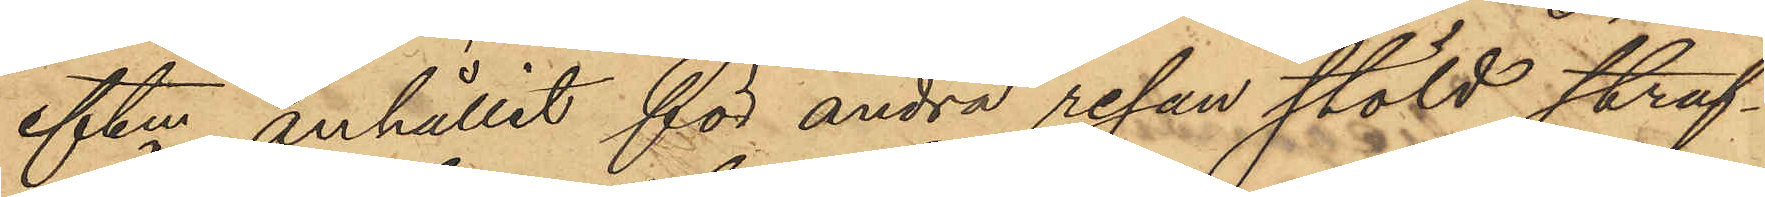eftm anhållit för andra resan stöld straf¬
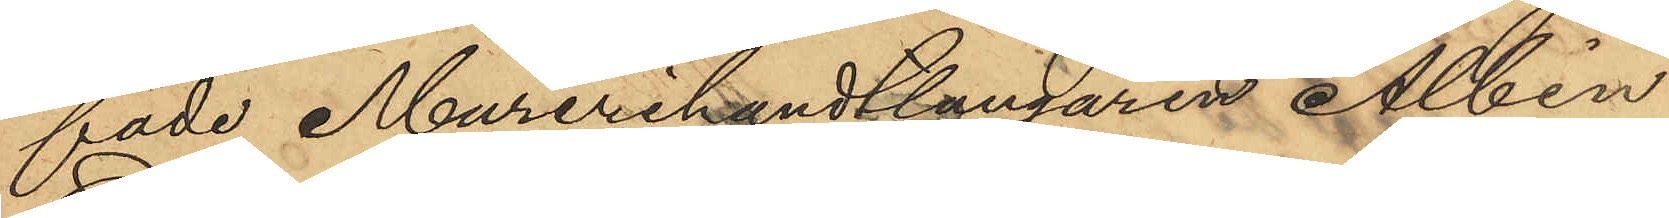fade Murerihandtlangaren Albin
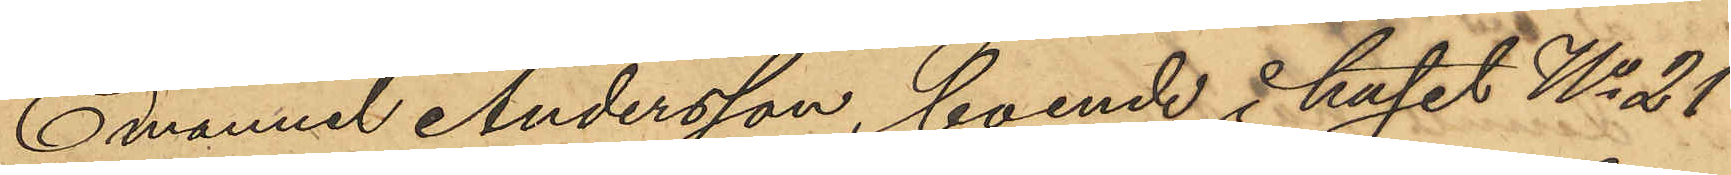Emanuel Andersson, boende i huset No 21
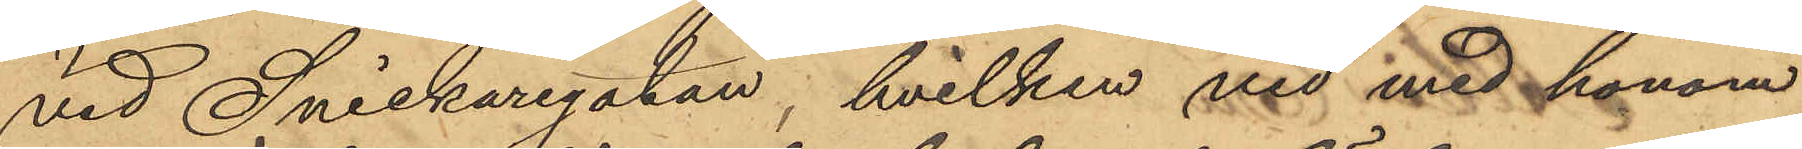vid Snickaregatan, hvilken vid med honom
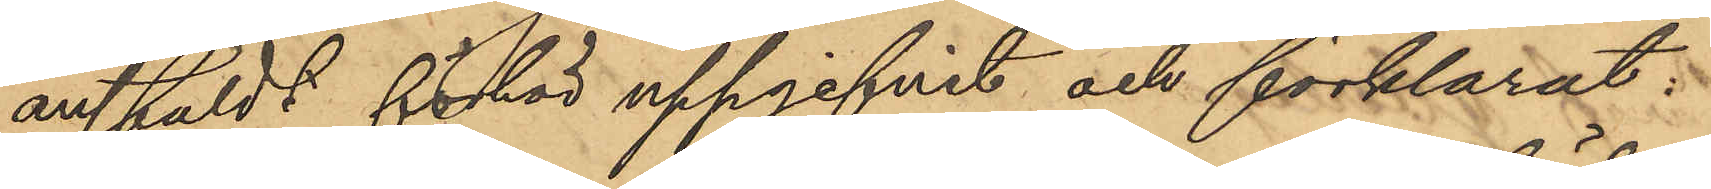anstäldt föhör uppgifvit och förklarat:
